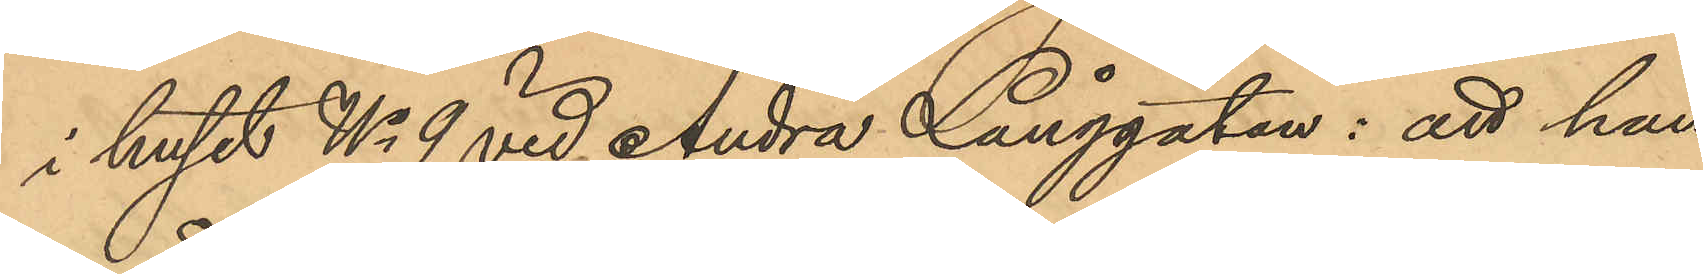i huset No 9 vid Andra Långgatan: att han
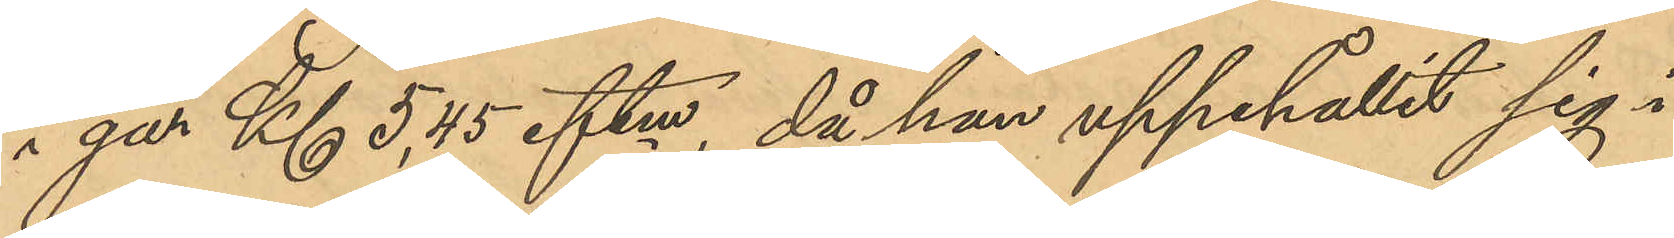i går Kl 5,45 eftm, då han uppehållit sig i
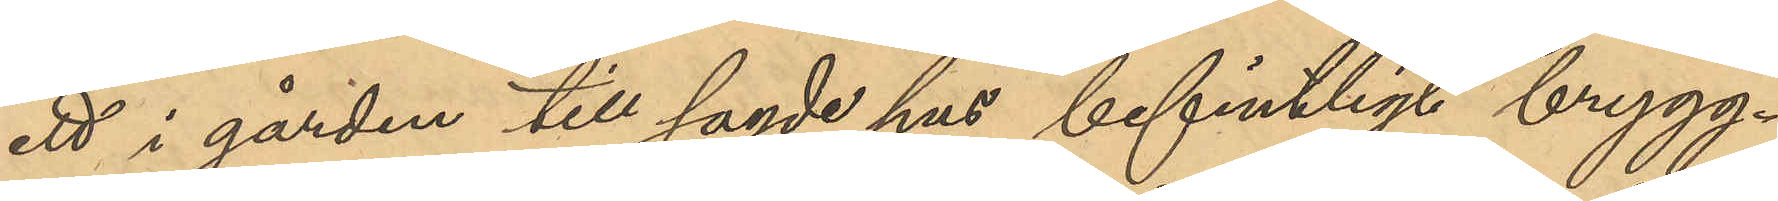ett i gården till sagde hus befintligt brygg¬
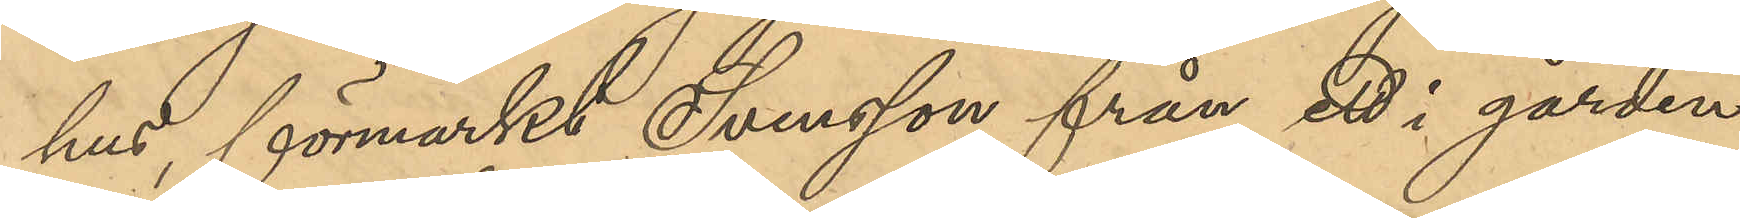hus, förmärkt Svensson från ett i gården
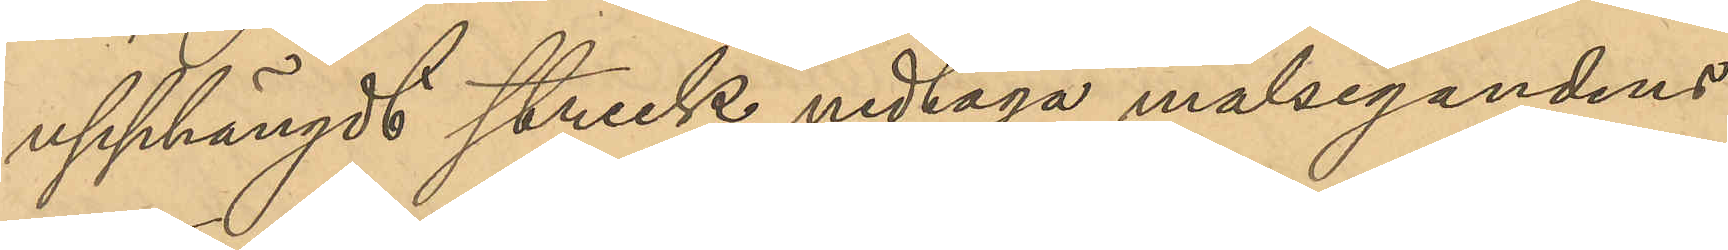upphängdt streck nedtaga målsegandens
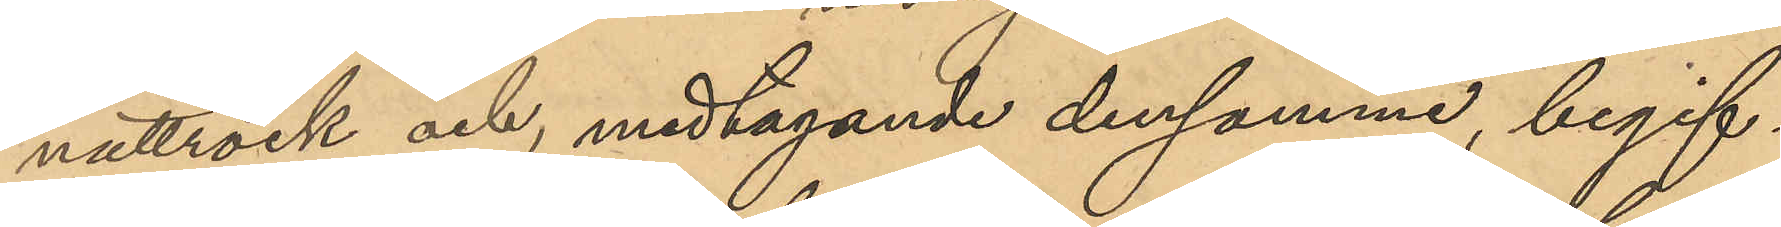nattrock och, medtagande densamma, begif¬
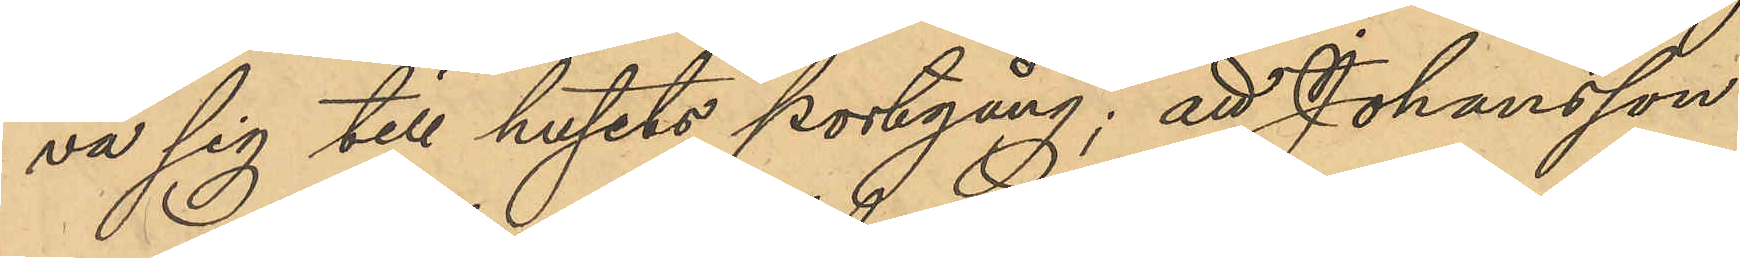va sig till husets portgång; att Johansson
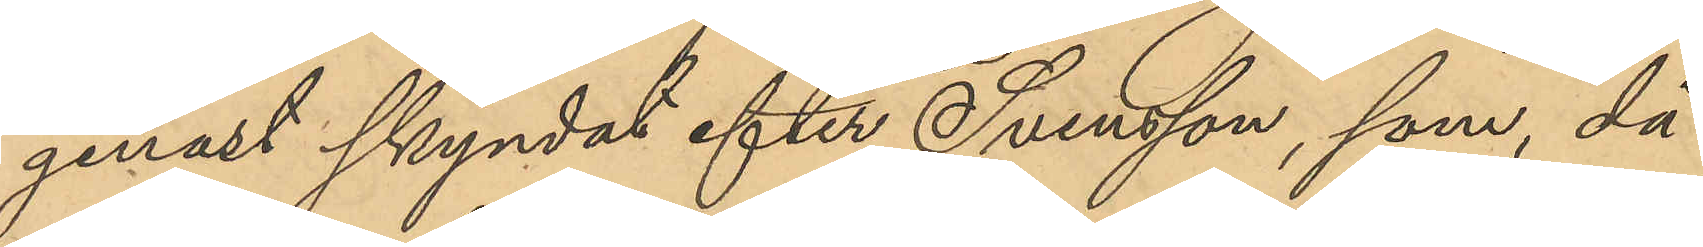genast skyndat efter Svensson, som, då
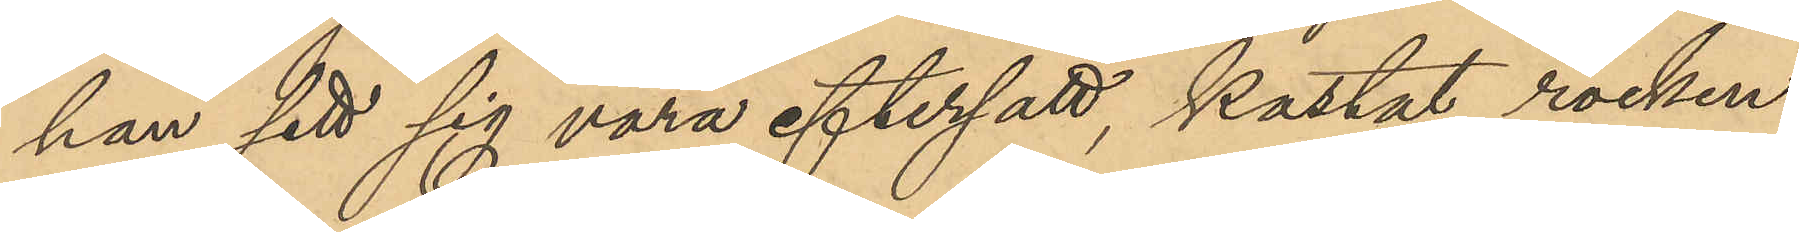han sett sig vara eftersatt, kastat rocken
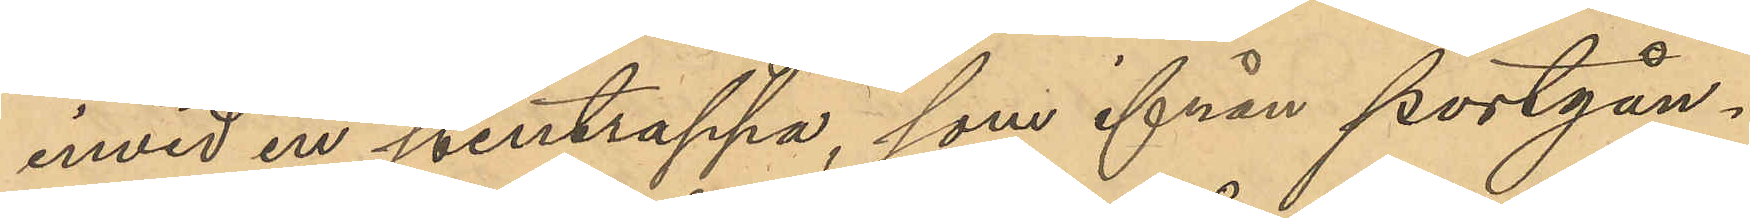invid en stentrappa, som ifrån portgån¬
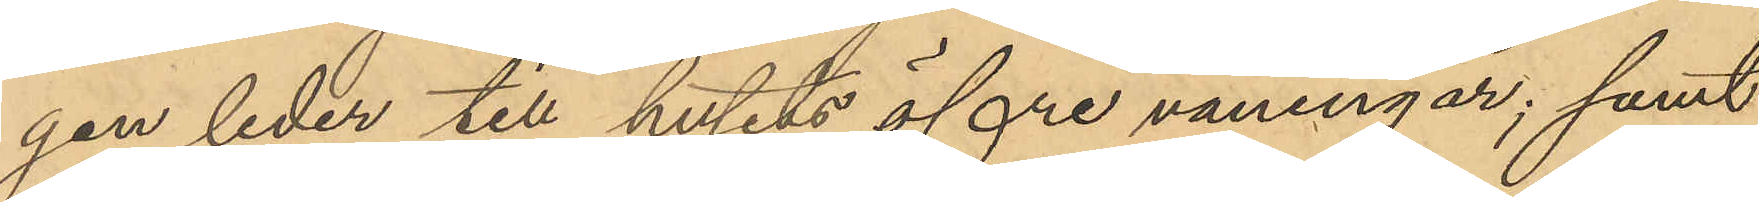gen leder till husets öfre våningar; samt
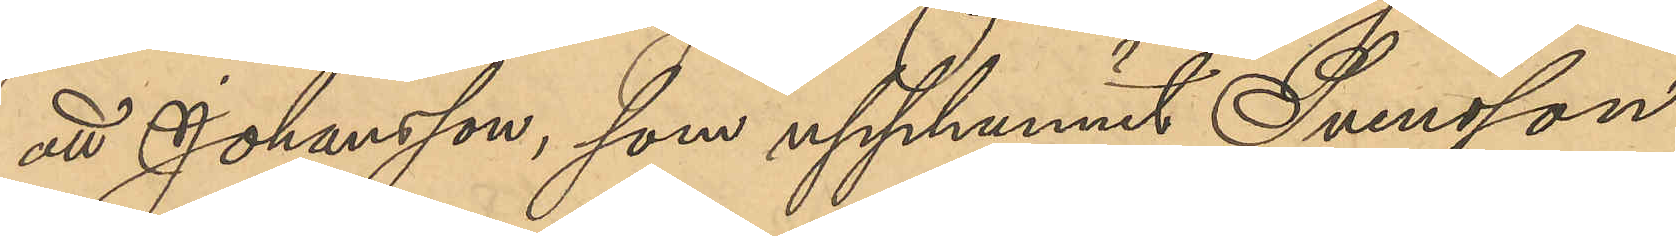att Johansson, som upphunnit Svensson
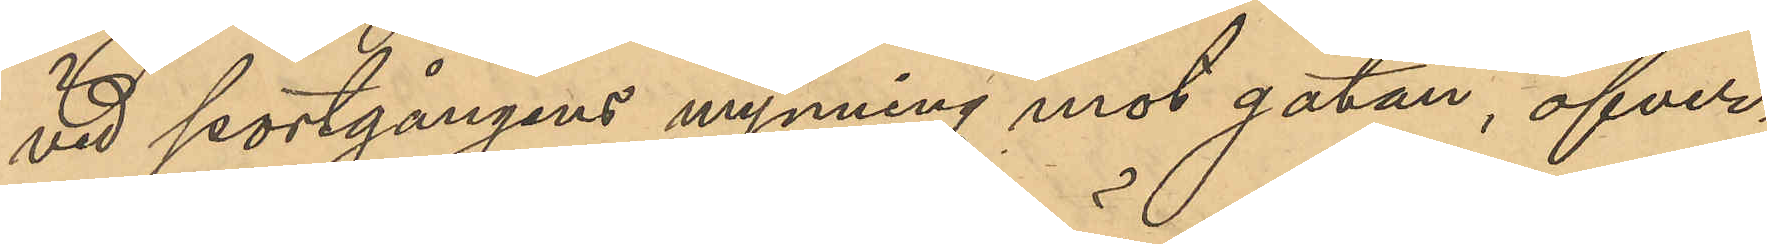vid portgångens mynning mot gatan, öfver¬
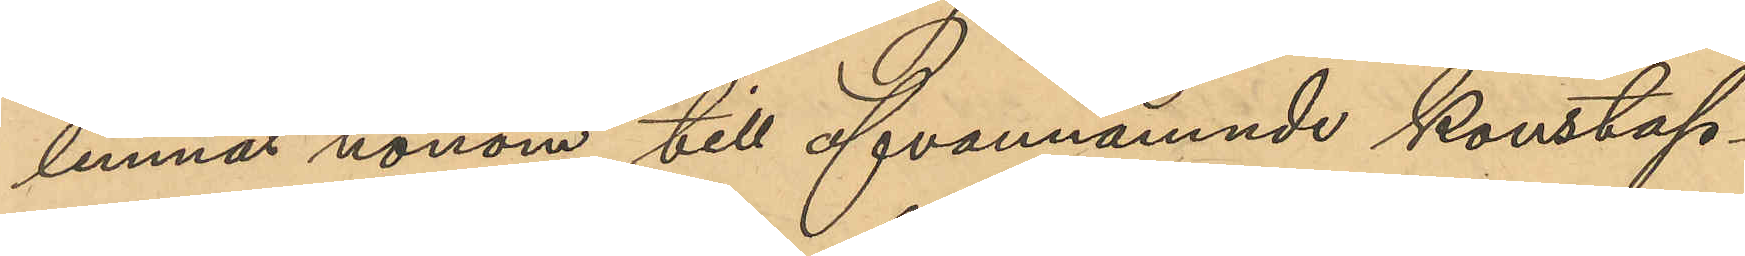lemnat honom till ofvannämnde konstap¬
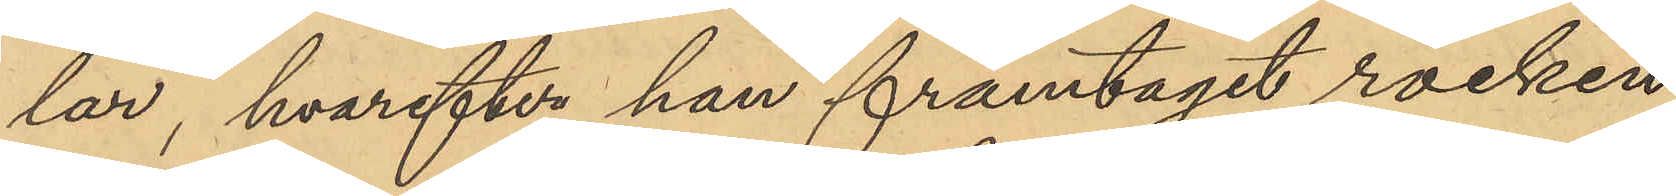lar, hvarefter han framtagit rocken
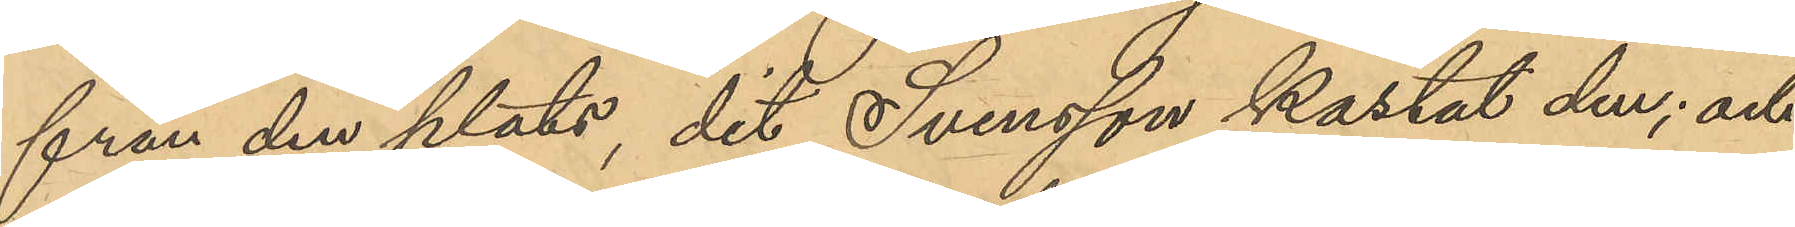från den plats, dit Svensson kastat den; och
